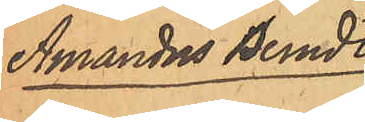Amandus Berndts¬
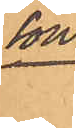son.
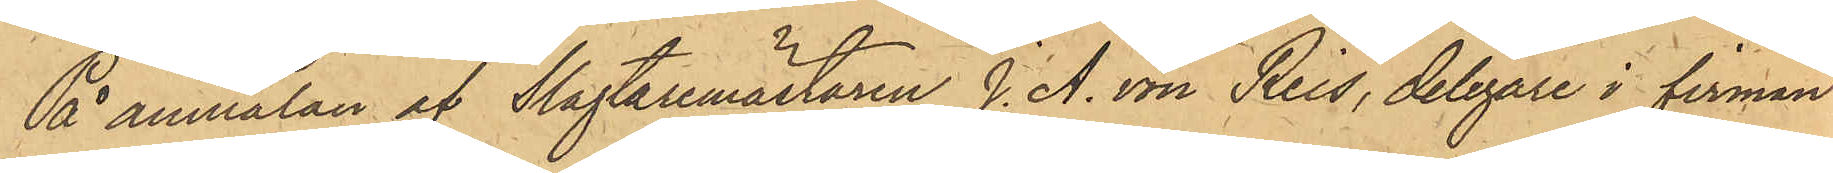På anmälan af Slagtaremästaren J. A. von Reis, delegare i firman
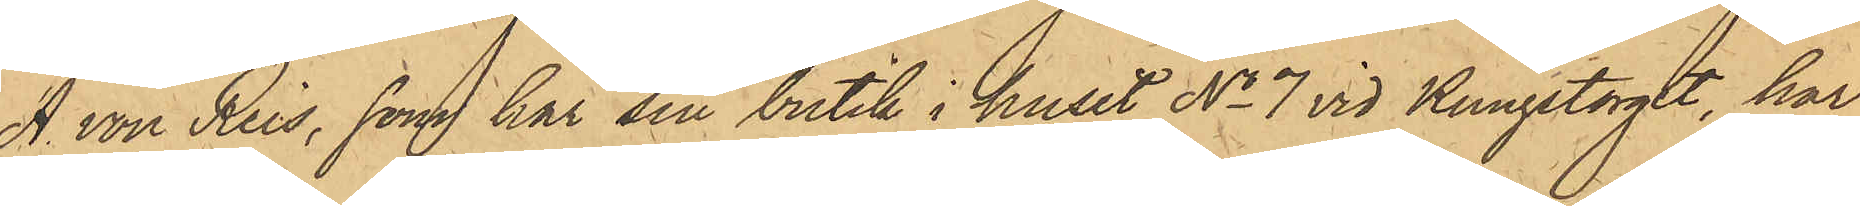A. von Reis, som har sin butik i huset No 7 vid Kungstorget, har
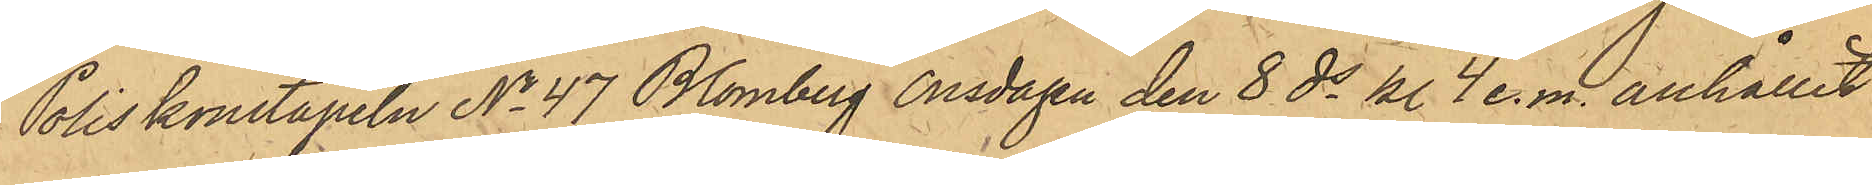Poliskonstapeln No 47 Blomberg onsdagen den 8 ds kl 4 e.m. anhållit
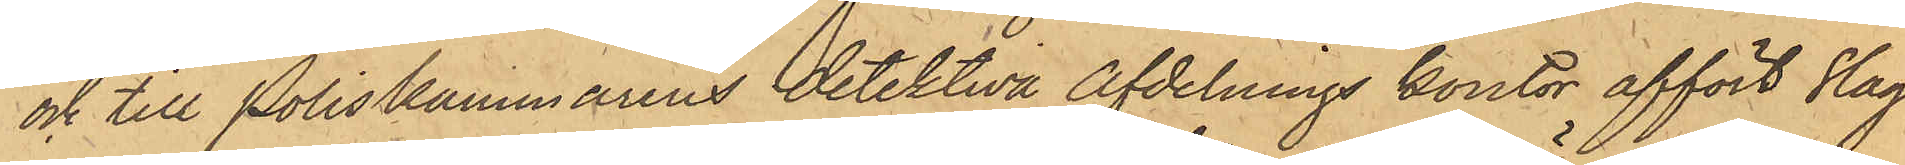och till Poliskammarens detektiva Afdelnings kontor affört Slag¬
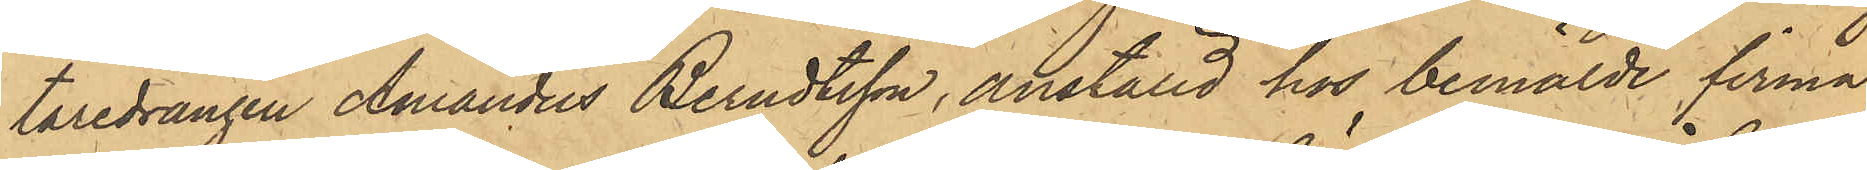taredrängen Amandus Berndtsson, anställd hos bemälde firma
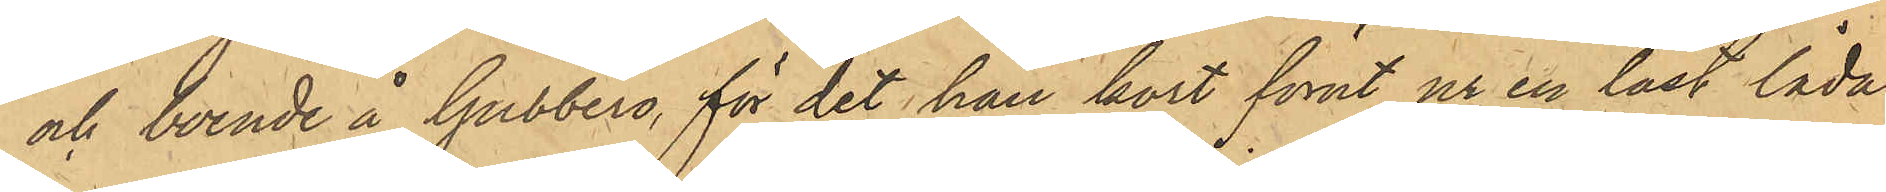och boende å Gubbero, för det han kort förut ur en låst låda
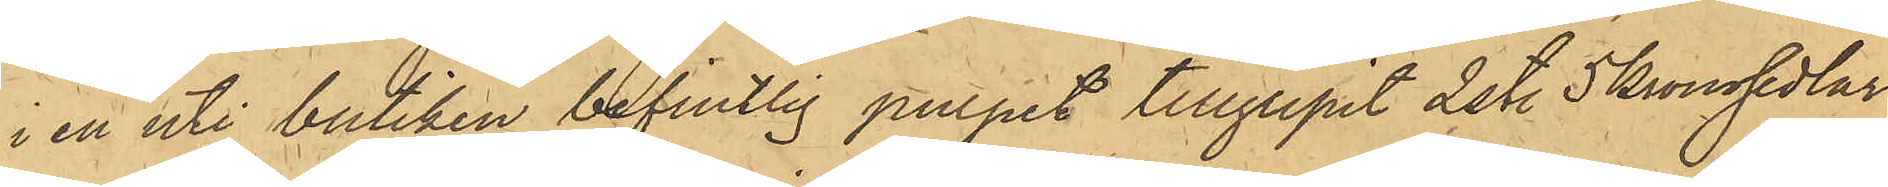i en uti butiken befintlig pulpet tillgripit 2 st. 5 kronosedlar.
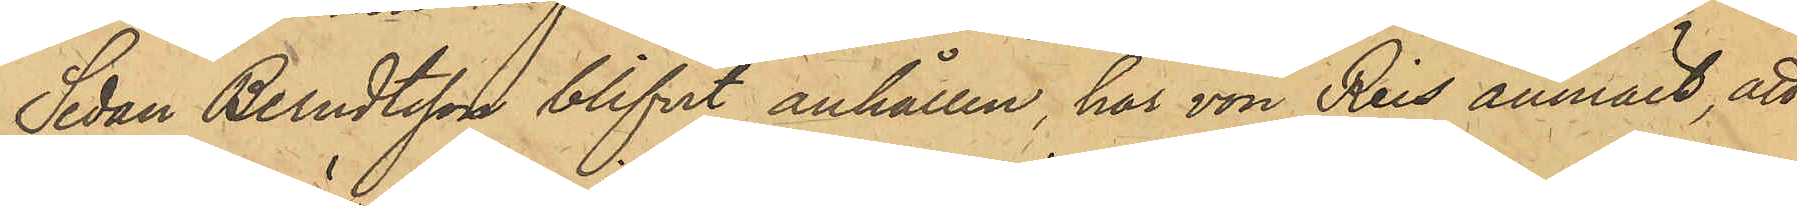Sedan Berndtsson blifvit anhållen, har von Reis anmält att
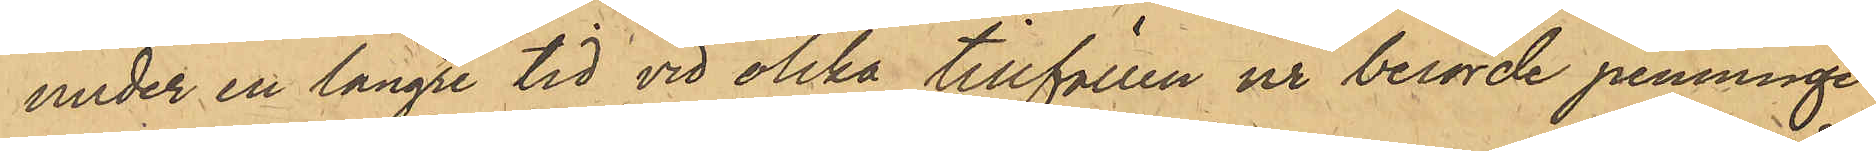under en längre tid vid olika tillfällen ur berörde penninge¬
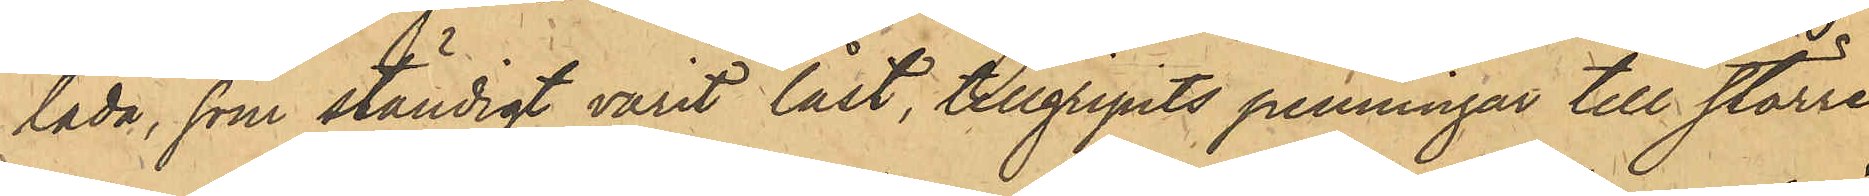låda, som ständigt varit låst, tillgripits penningar till större
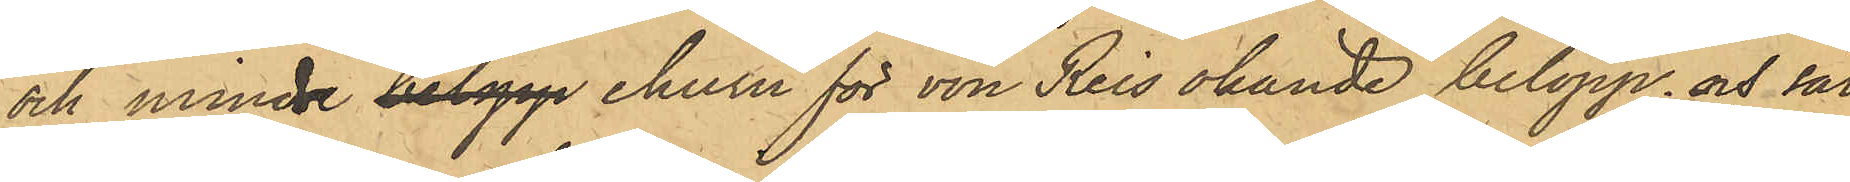och mindre belopp ehuru för von Reis okände belopp och sär¬
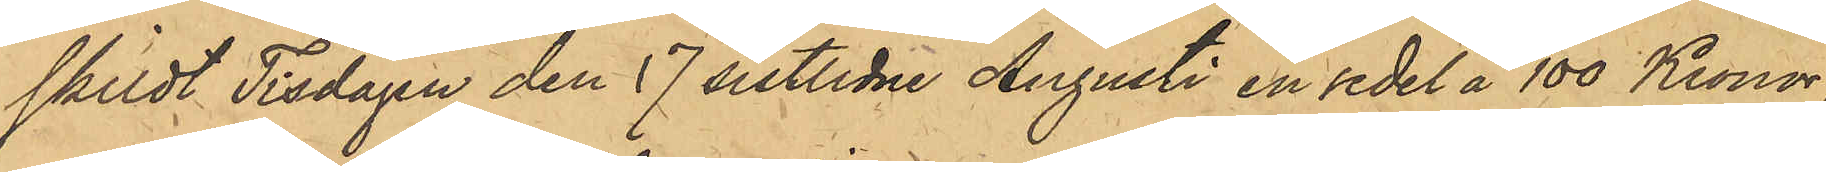skildt Tisdagen den 17 sistlidne Augusti en sedel å 100 Kronor;
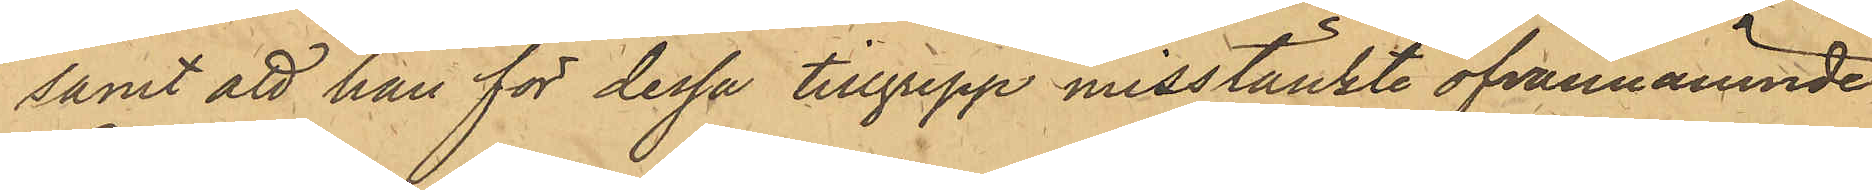samt att han för dessa tillgrepp misstänkte ofvannämnde
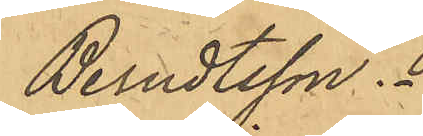Berndtsson.
